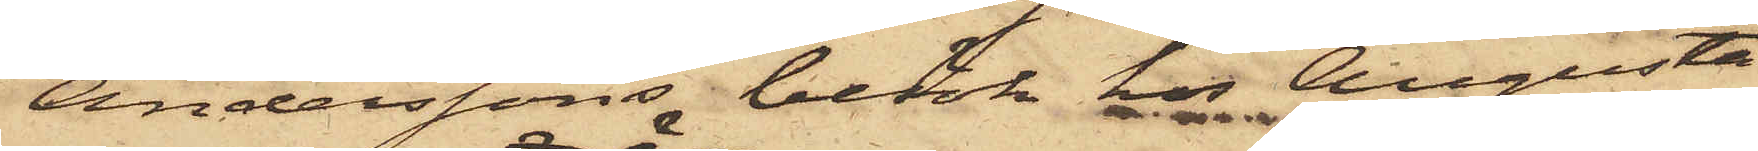Anderssons besök hos Augusta
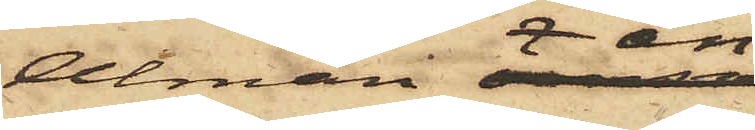Alman än
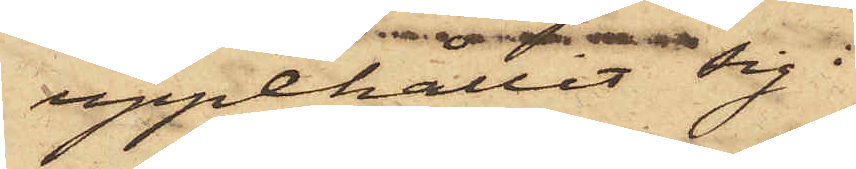uppehållit sig i
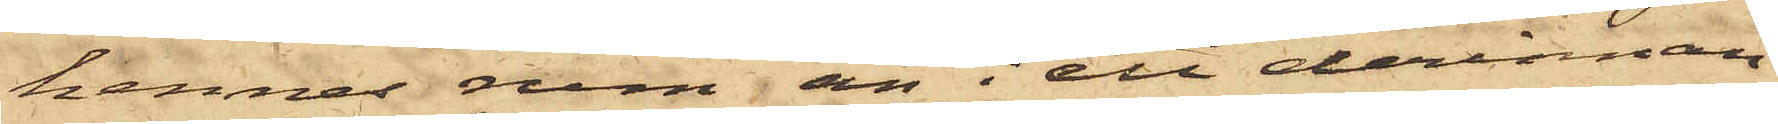hennes rum än i ett derinnan¬
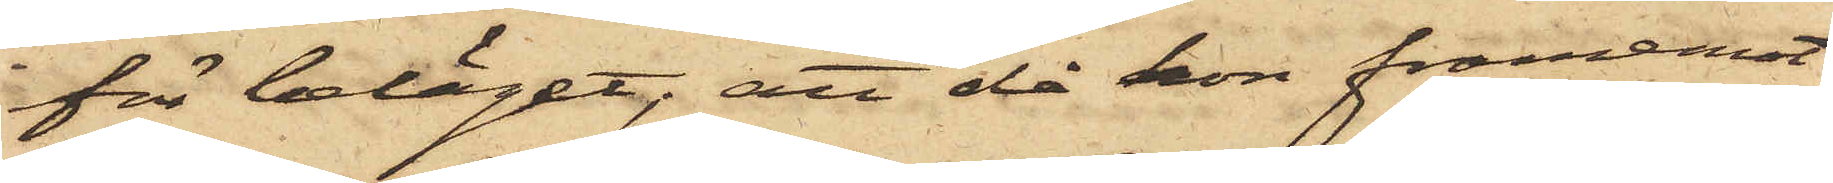för beläget; att då hon framemot
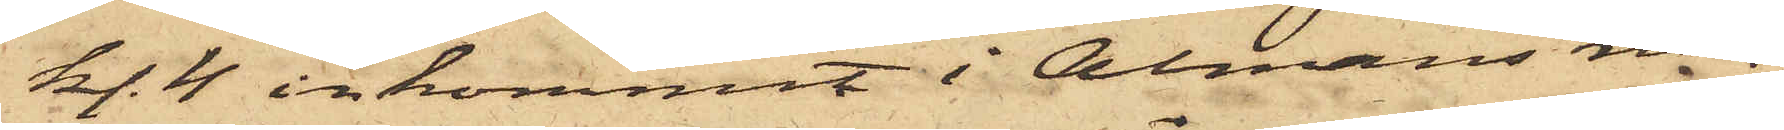kl. 4 inkommit i Almans rum,
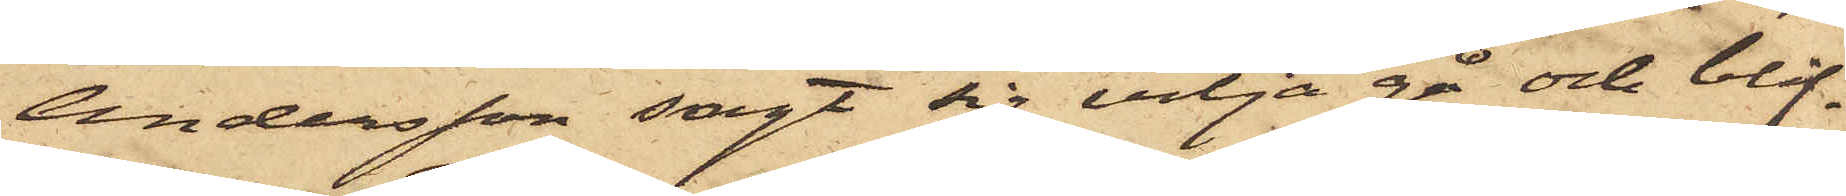Andersson sagt sig vilja gå och blif¬
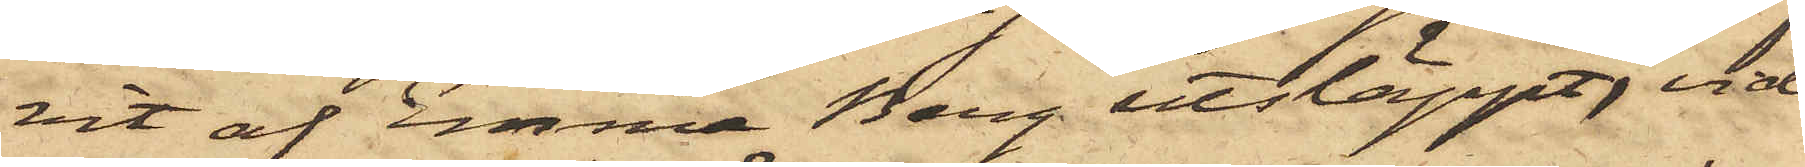vit af Emma Berg utsläppt, vid
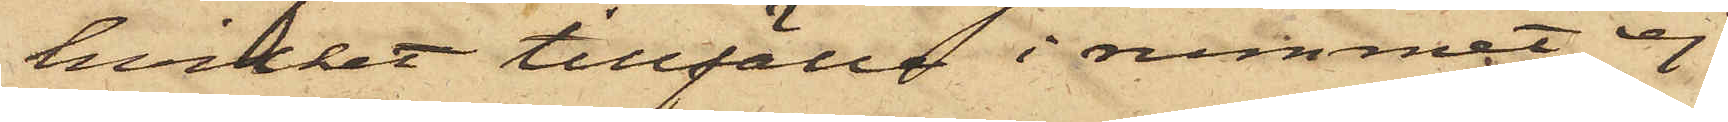hvilket tillfälle i rummet ej
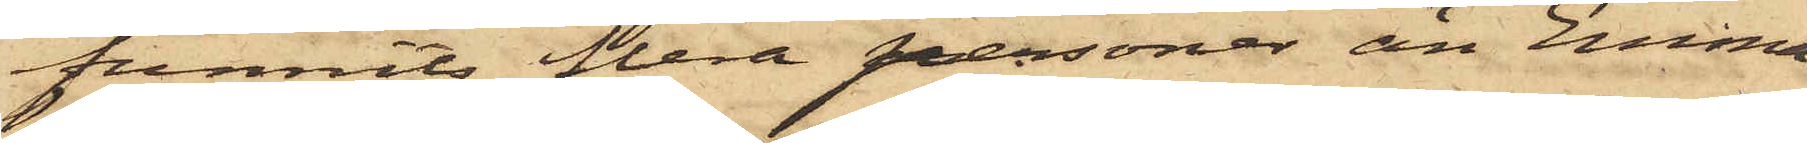funnits flera personer än Emma
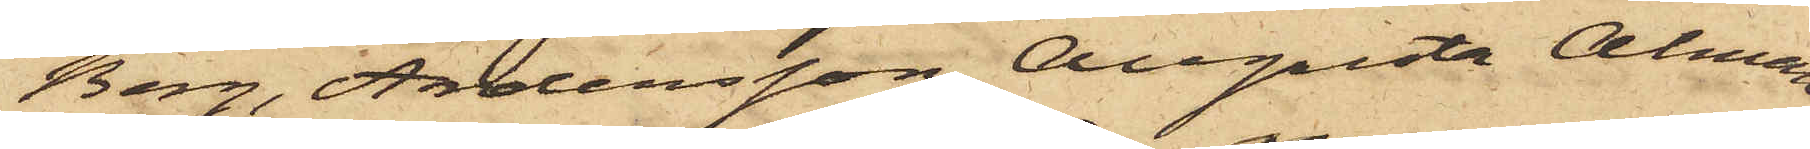Berg, Andersson, Augusta Alman
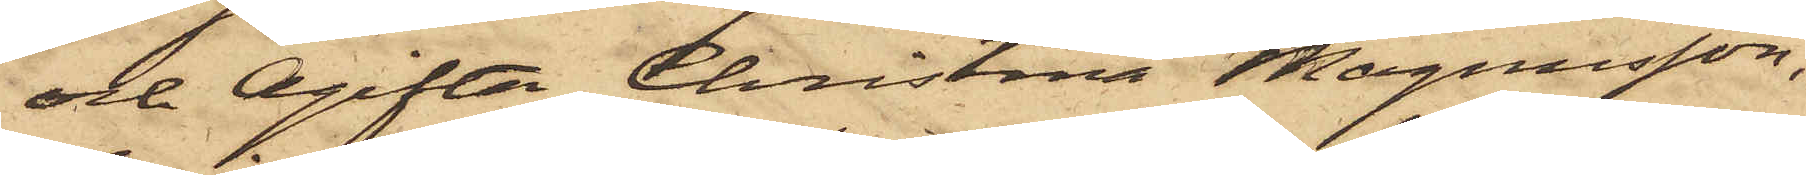och Ogifta Christina Magnusson,
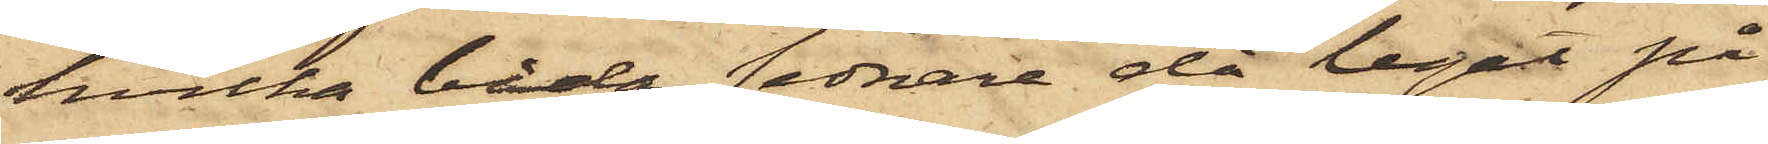hvilka båda sednare då legat på
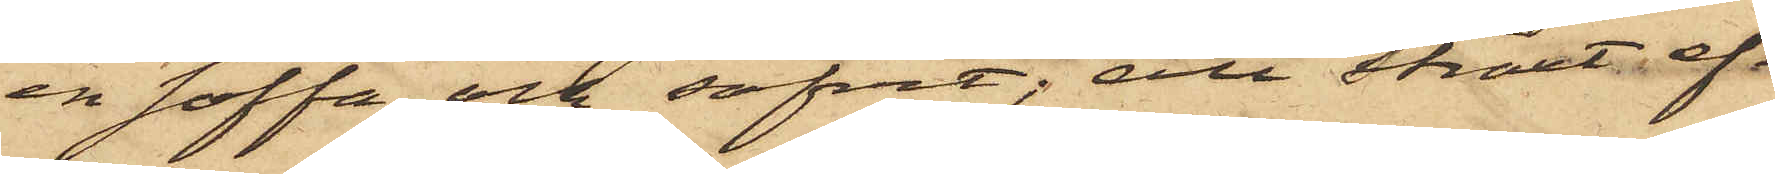en soffa och sofvit; att straxt ef¬
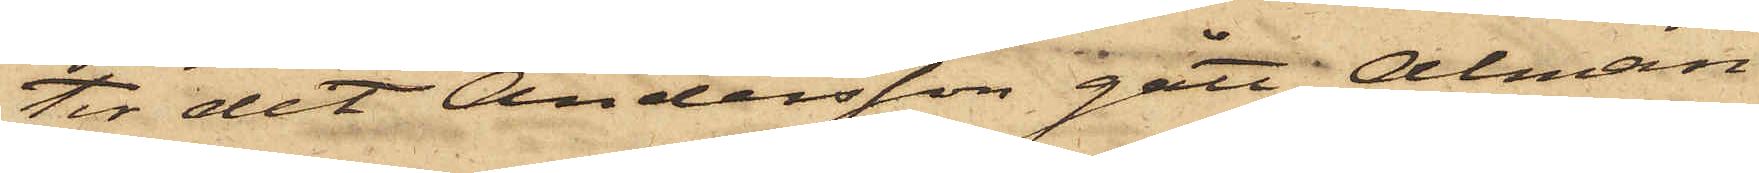ter det Andersson gått, Alman
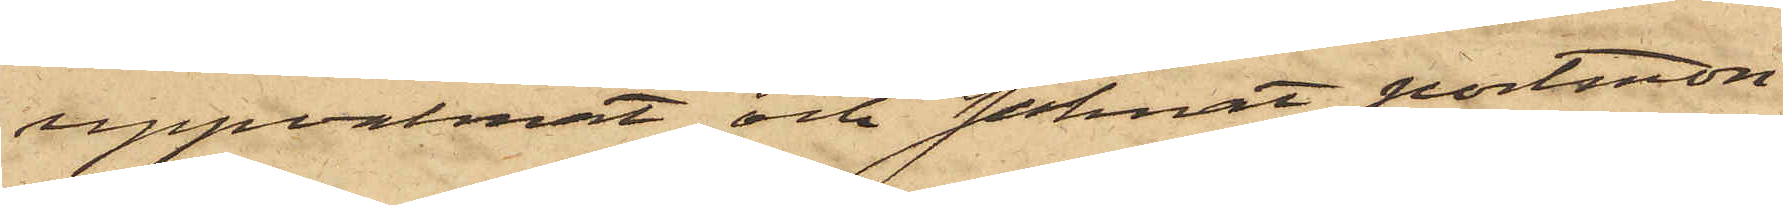uppvaknat och saknat portmon¬
